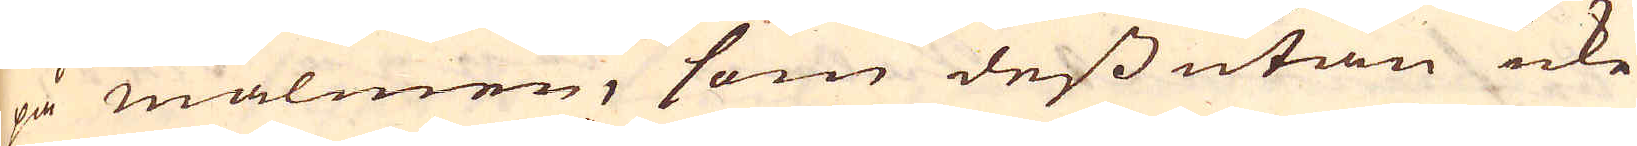på malmen, som dess utan icke
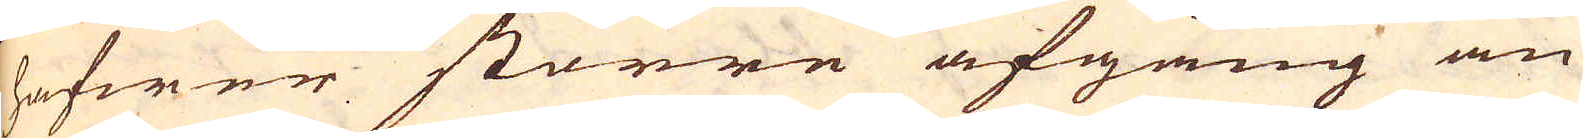hafwer större afgång än
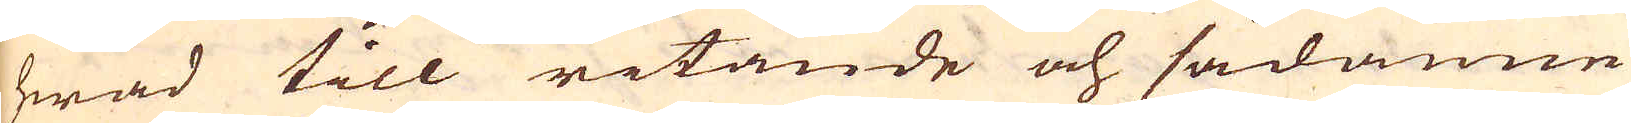hwad till ritande och sådanne
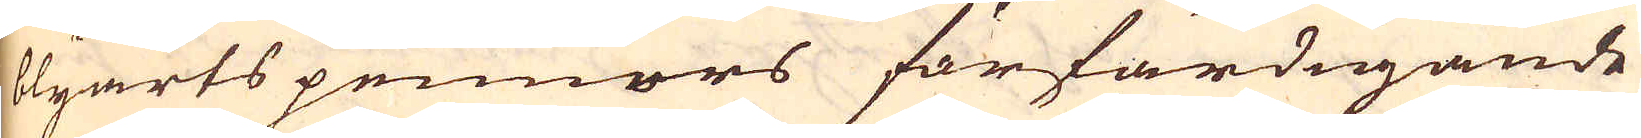blyarts pennors förfärdigande
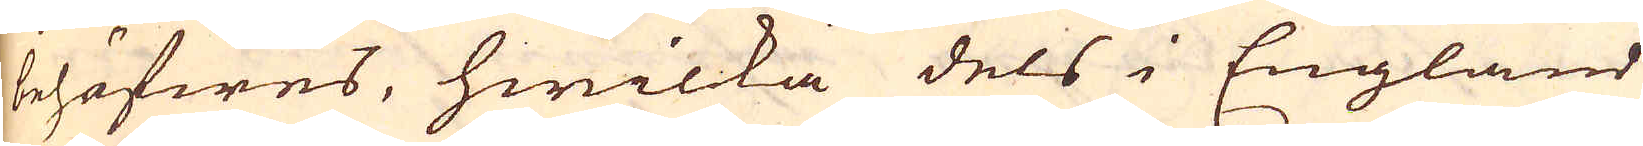behöfwes, hwilka dels i England
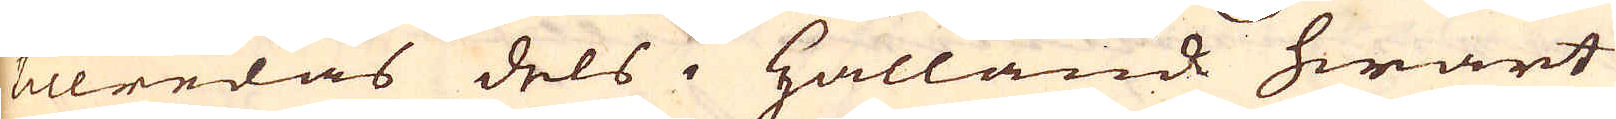killredas dels i Hållande hwart
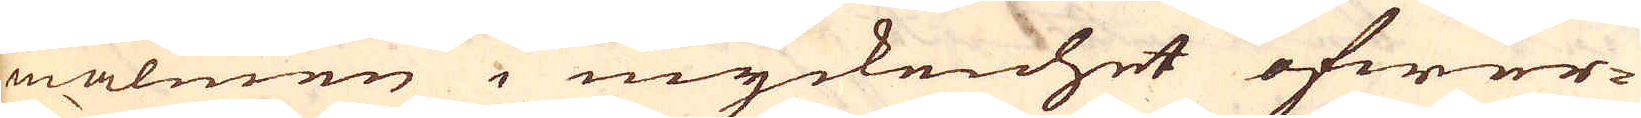malmen i myckenhet öfwer-
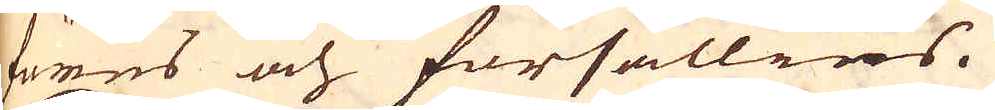föres och försällies.
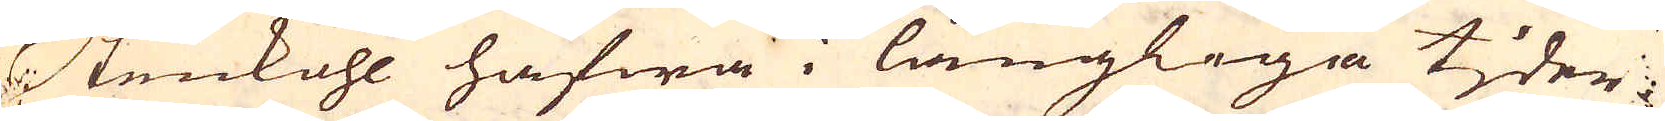Stenkohl hafwa i långliga tjder
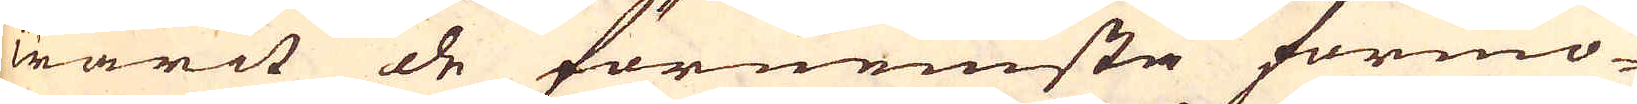warit de förnemsta förmo-
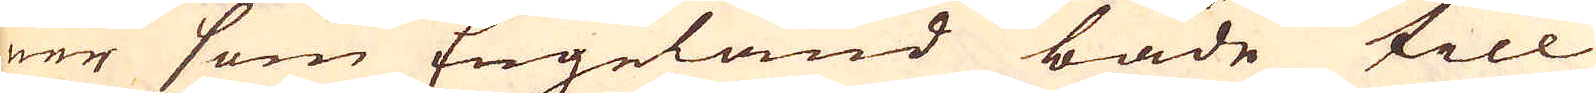ner som Engeland både till
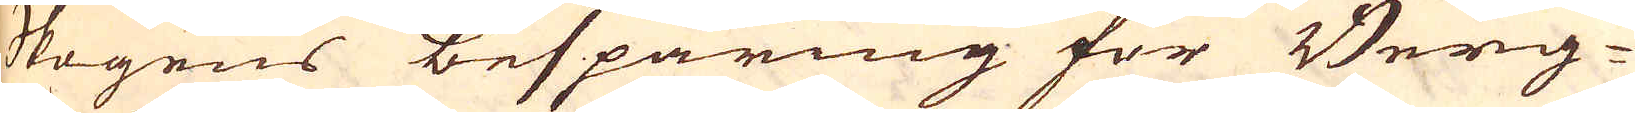skogens besparing för Berg-
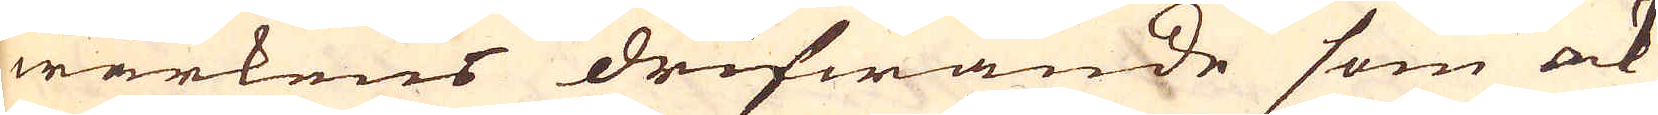wärkens drifwande som ock
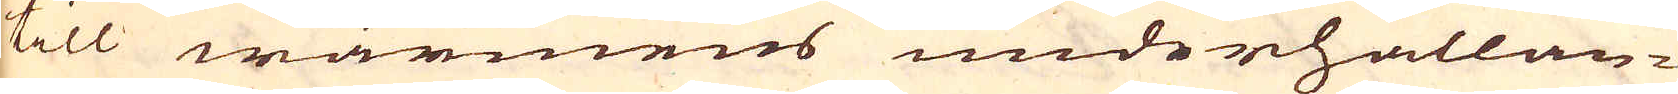till wärmens underhållan-
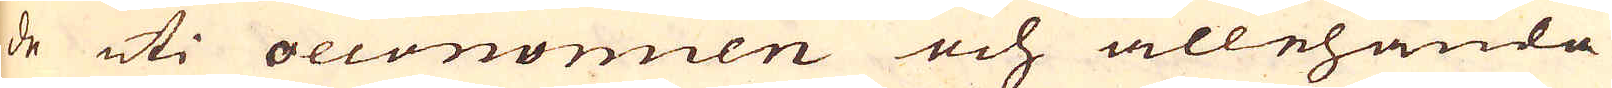de uti oeconomien och allehanda
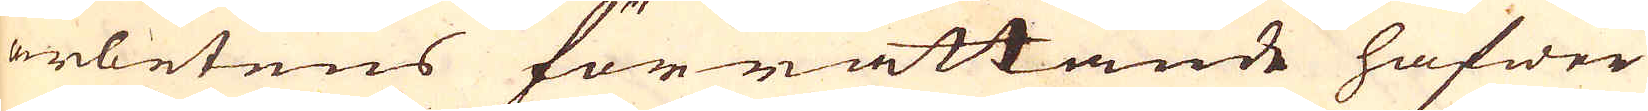arbetens förrättande hafwer
